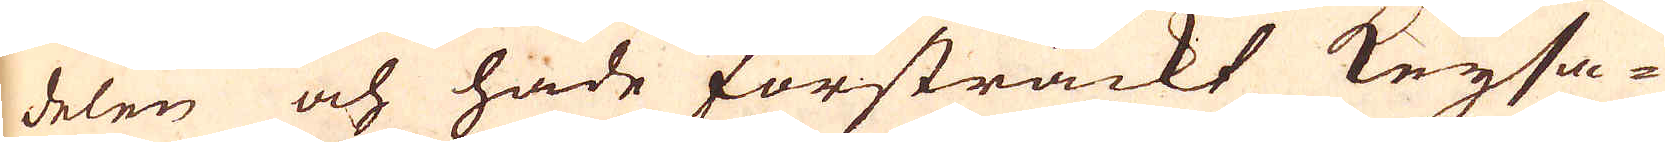delen och hade försträckt Keysa-
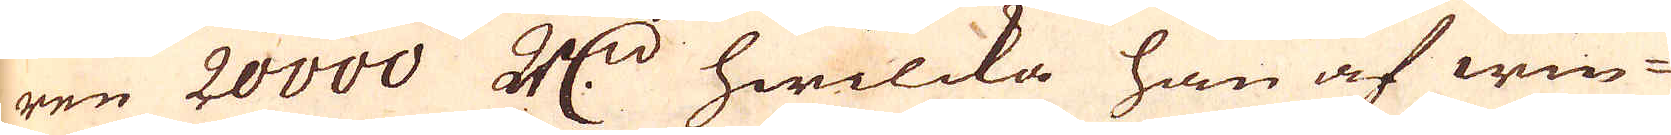ren 20000 R:drd hwilcka han af win-
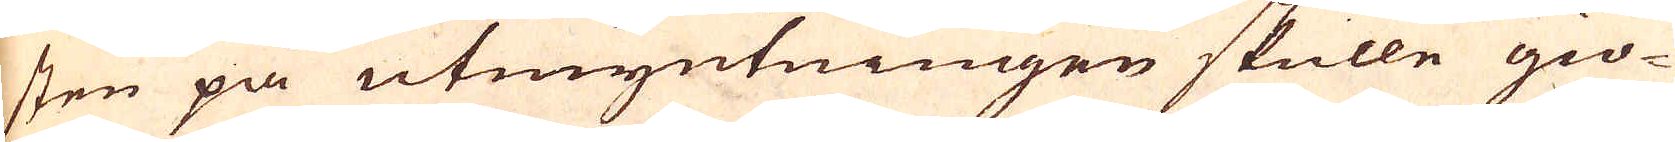sten på utmyntningen skulle giö-
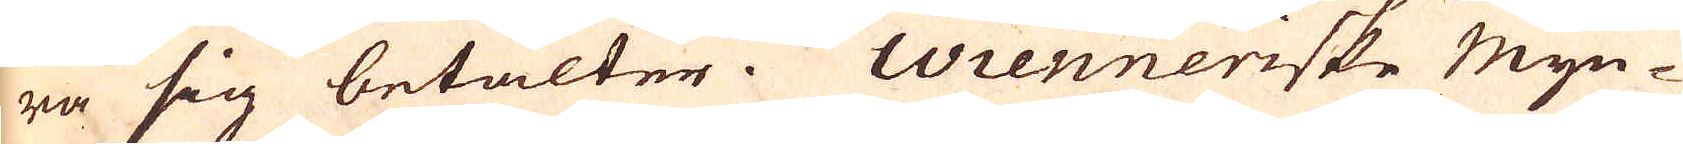ra sig betalter. Wienneriske Myn-
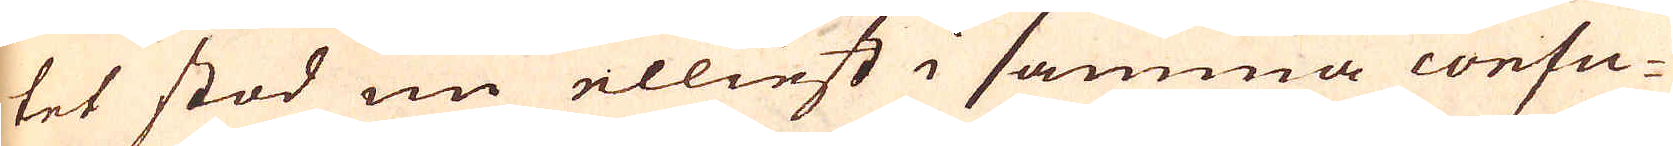tet stod nu elliest i samma confu-
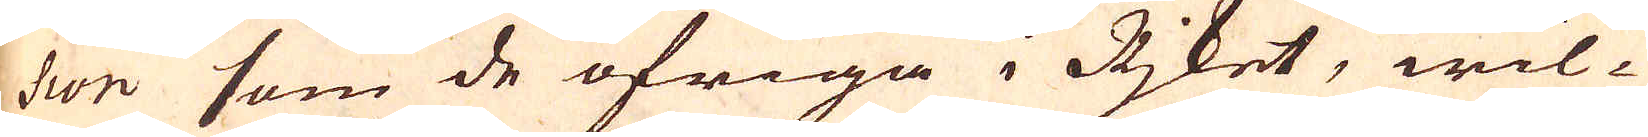sion som de öfriga i Rjket, wil-
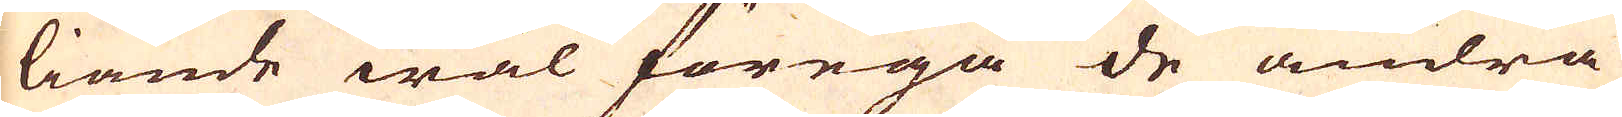liande wäl föregå de andra
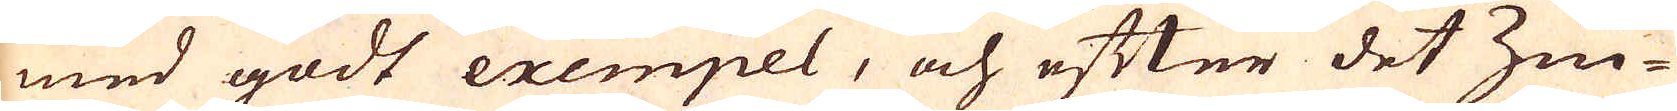med godt exempel, och efter det Zin-
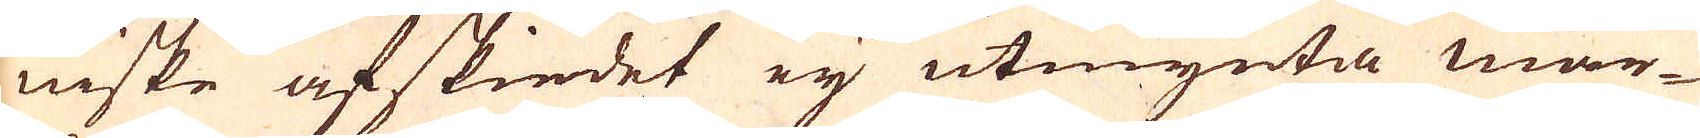niske afskiedet eij utmynta mar-
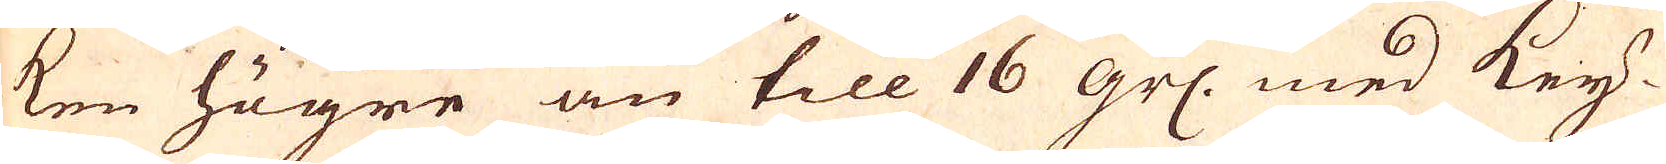ken högre än till 16 grs. med Key-
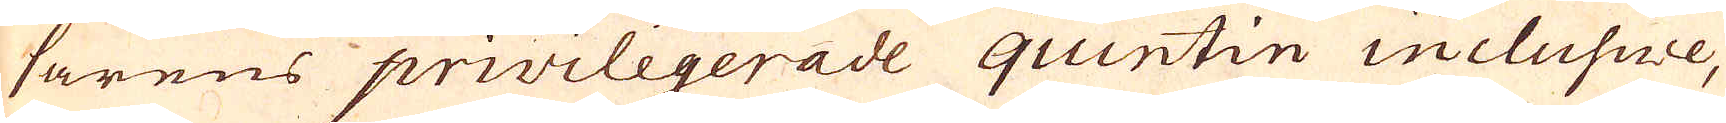sarens privilegerade quintin inclusive,
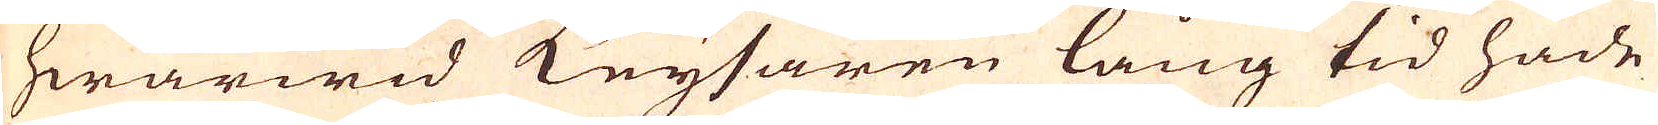hwarwid Keysaren lång tid hade
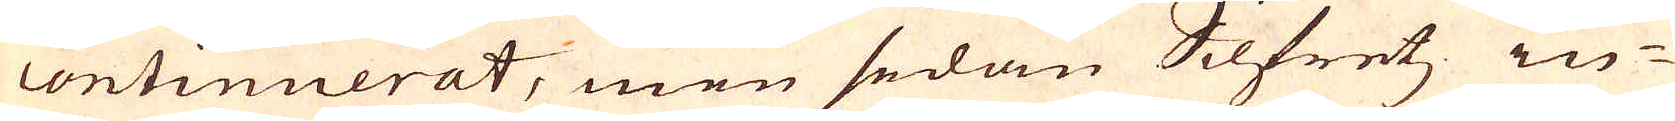continuerat, men sedan Silfretz in-
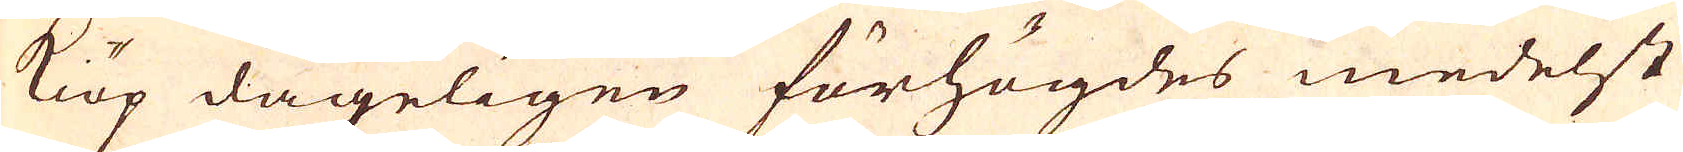kiöp dageligen förhögdes medelst
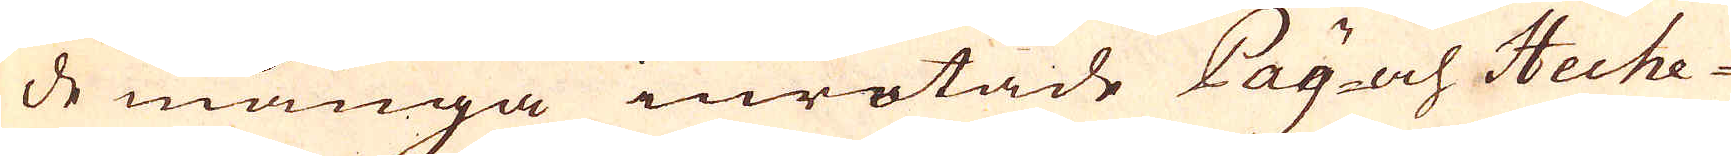de många inrotade Pay- och Heche-
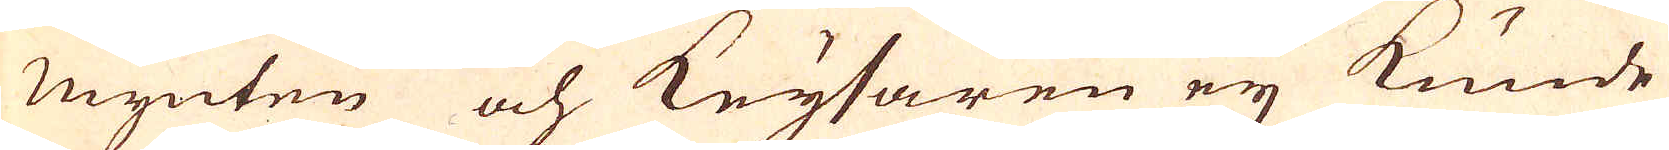Mynten och Keysaren eij kunde
